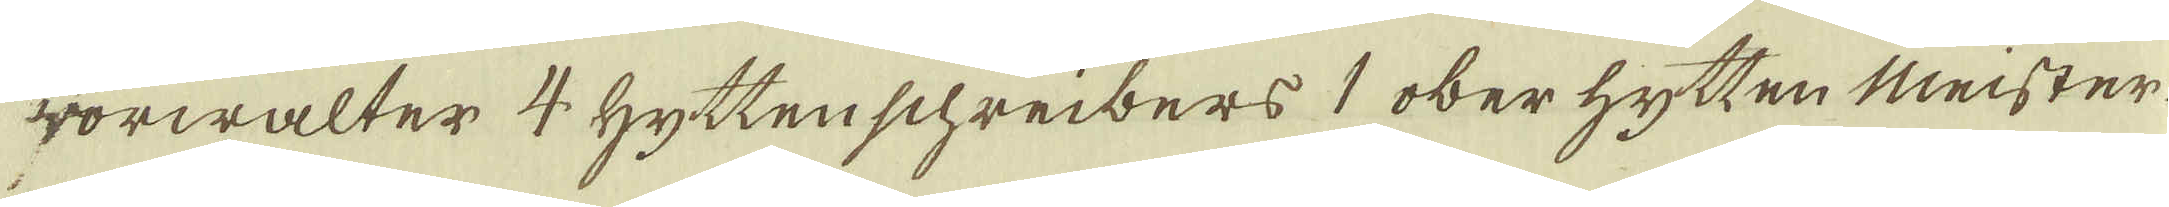vörwalter 4 Hytten schreibers 1 oberhytten Meister
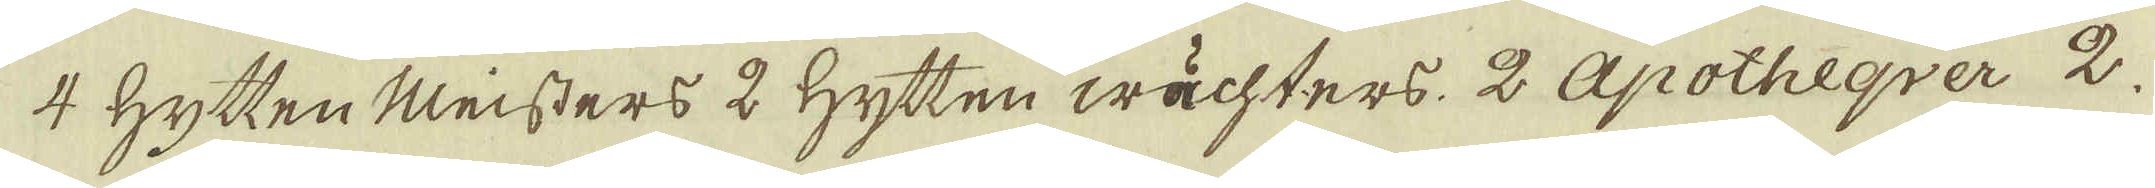4 Hytten Meisters 2 Hytten wächters. 2 Apotheqver 2
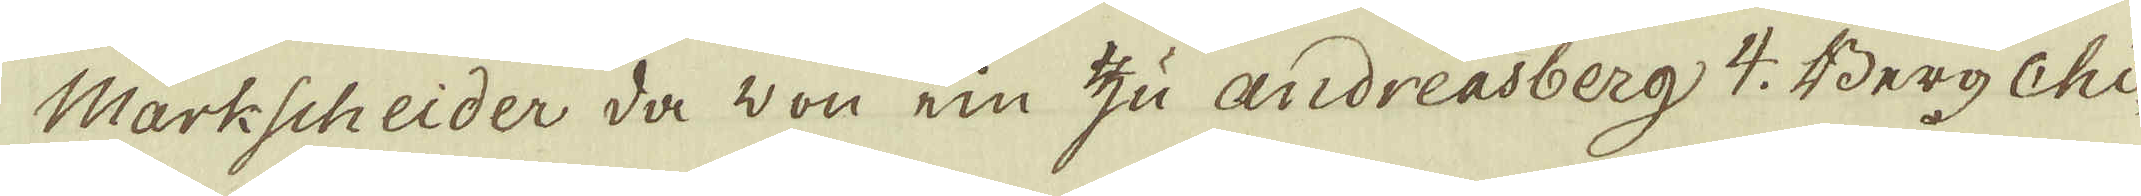Markscheider da von ein zu Andreasberg 4. Berg Chi-
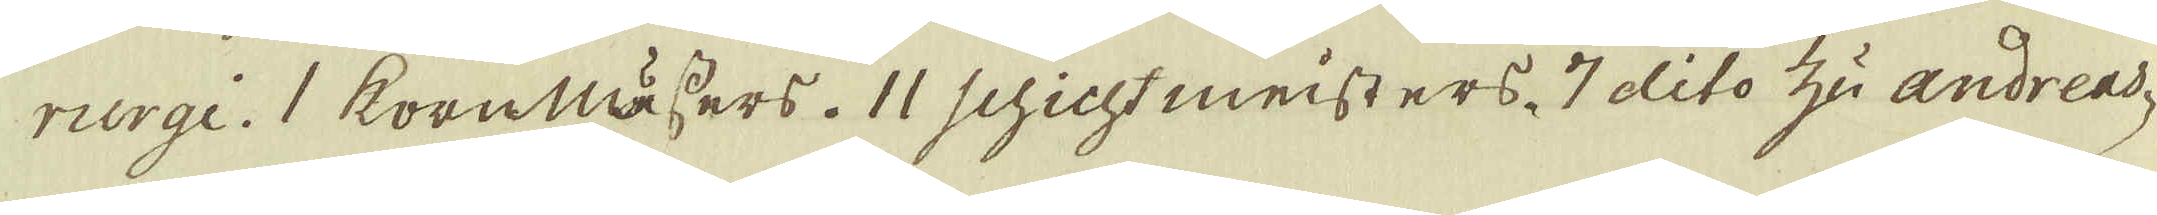rurgi. 1 kornmässers. 11 schicht meisters 7 dito zu Andreas-
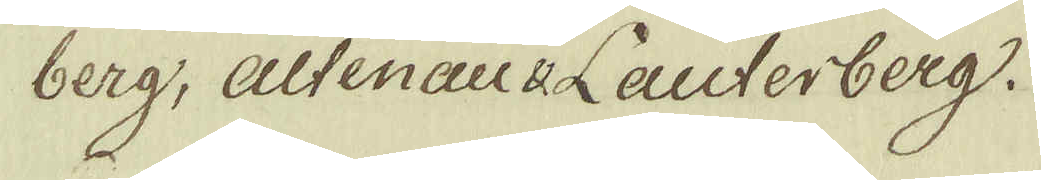berg, altenau v Lauterberg.
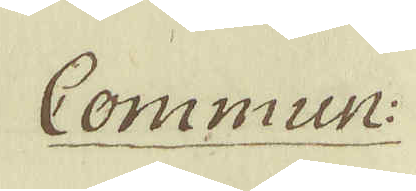Commun:
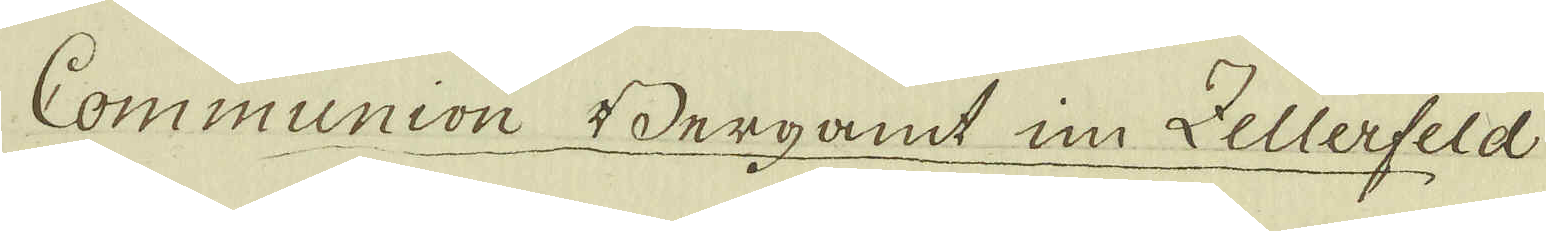Communion Bergamt in Zellerfeld
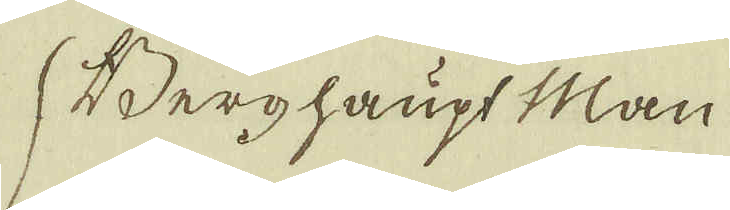Berghaupt Man
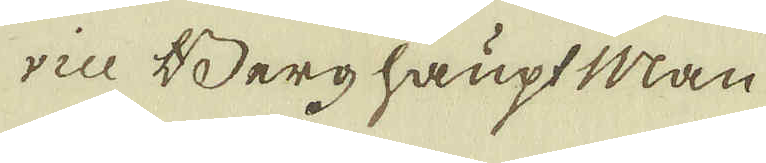vice Berghaupt Man
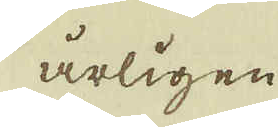årligen
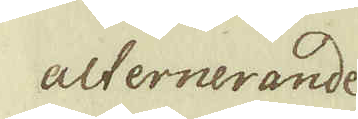alternerande,
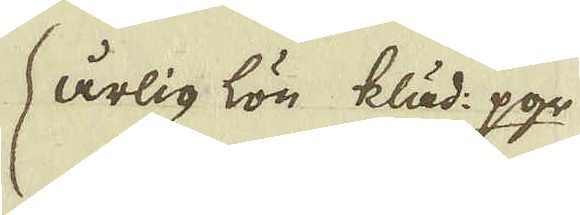årlig lön kläd: pgr
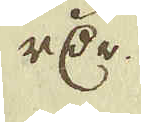rDr
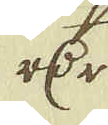rDr
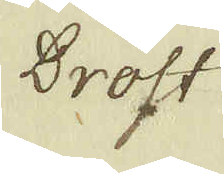Drost
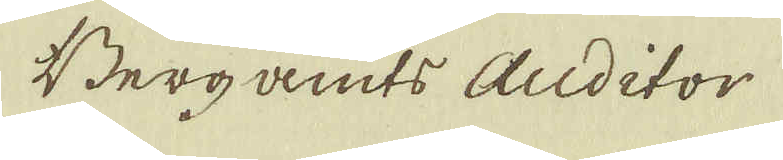Berg amts Auditor
